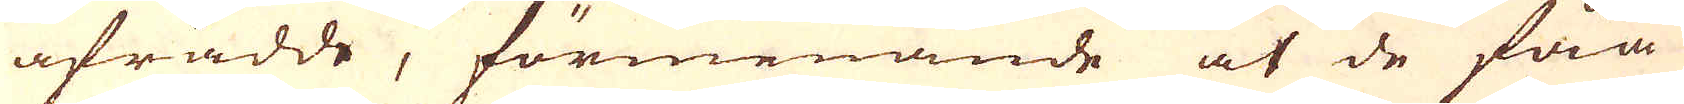afrådde, förmenande at de fåå
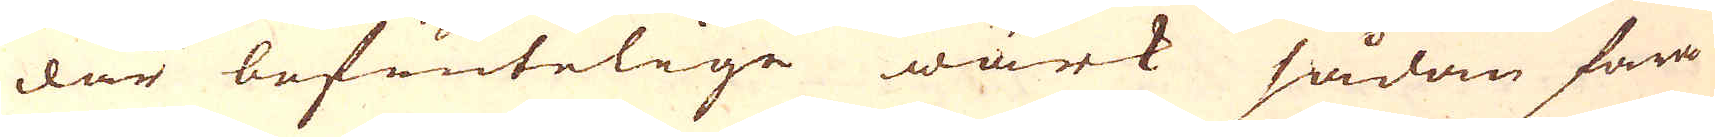där befintelige wärk sådan fara
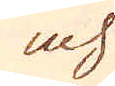och
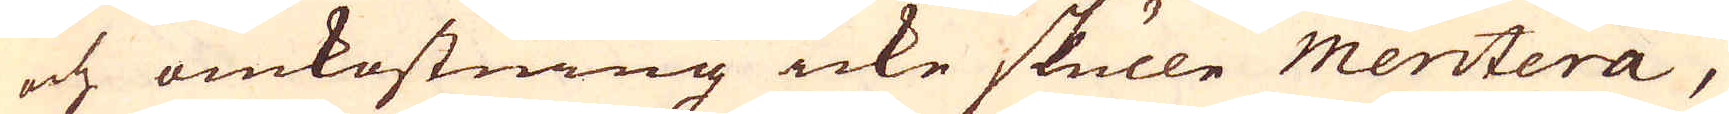och omkostning icke skulle Meritera,
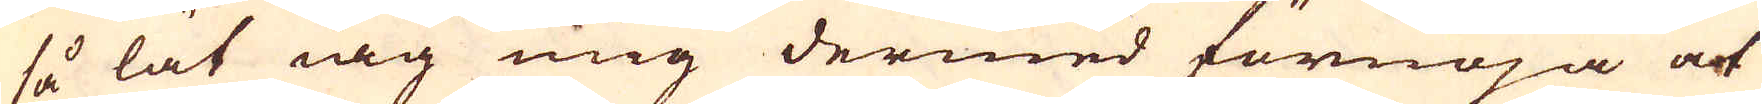så lät iag mig dermed förnöja at
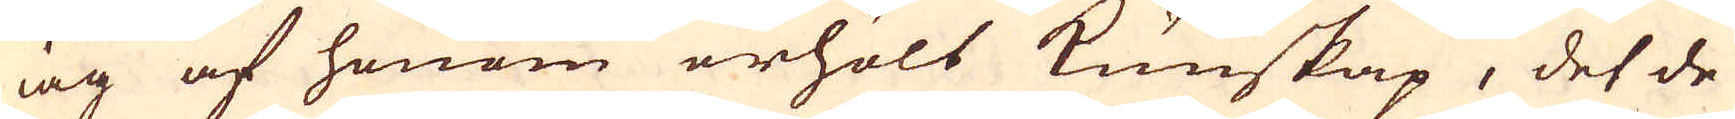iag af honom erhölt kunskap, det de
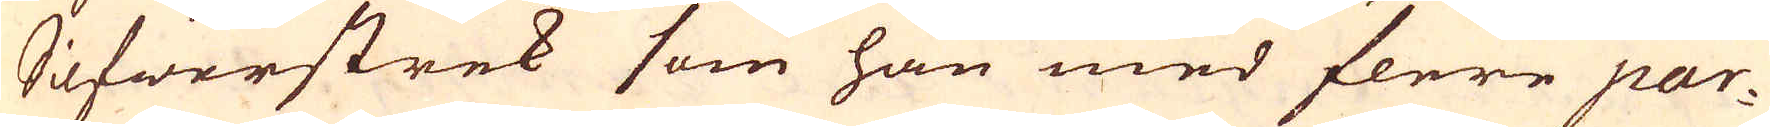Silfwerstrek som han med flere par-
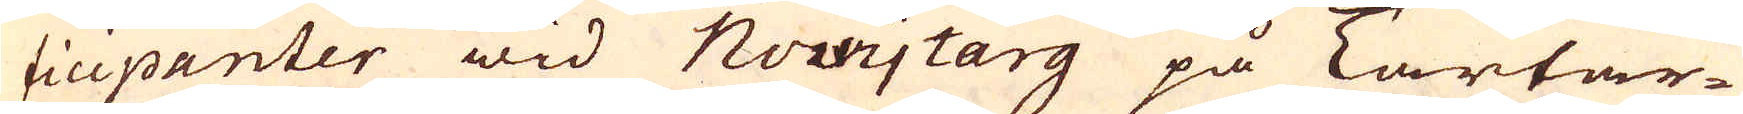ticipanter wid Novy targ på Tartar-
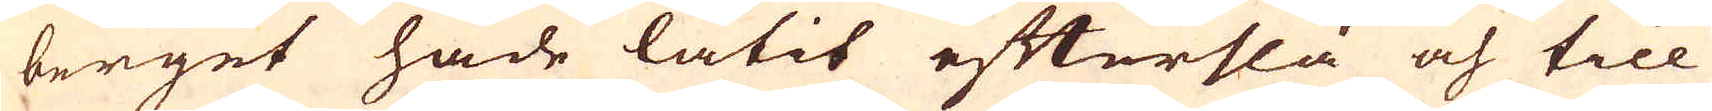berget hade låtit efterslå och till
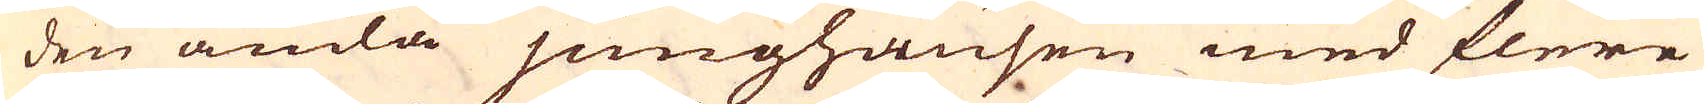den ända junghausen med flere
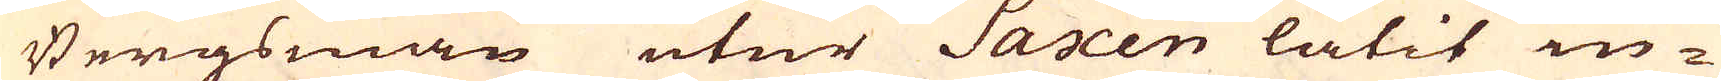Bergsmän utur Saxen låtit in-
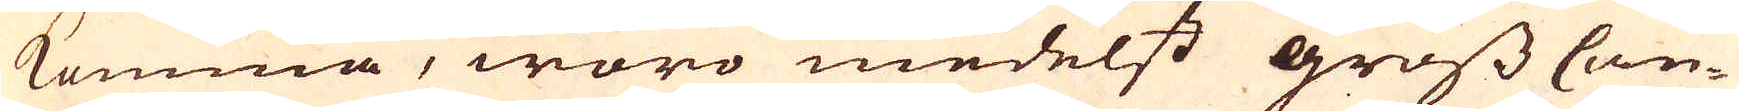komma, woro medelst gross Can-
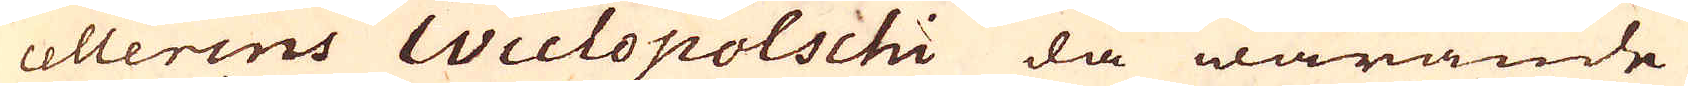cellerens Wiclopolschi då warande
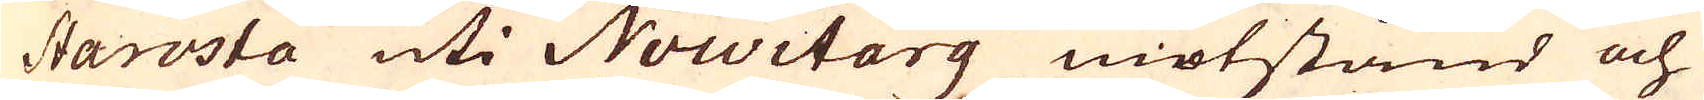Starosta uti Nowitarg motstånd och
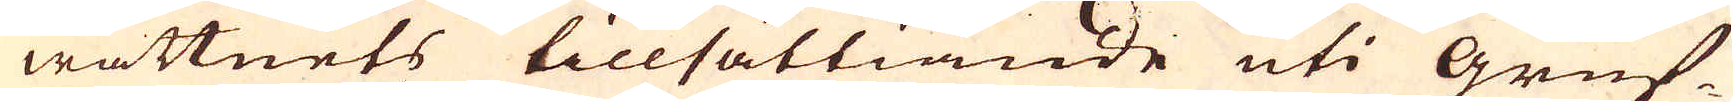wattnets tillsättiande uti Gruf-
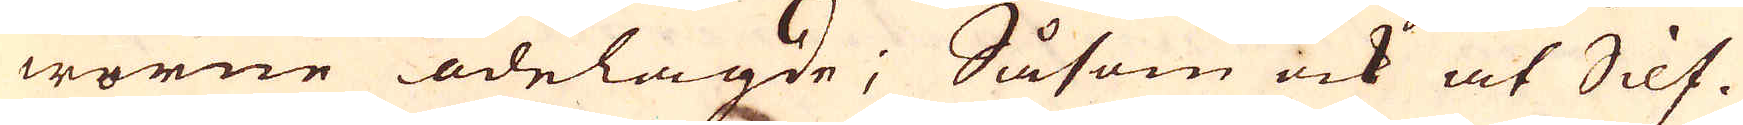worne ödelagde; Såsom ock at Silf-
